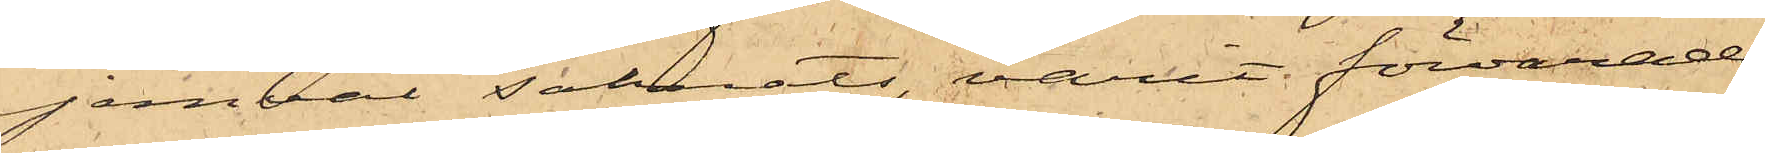jemväl saknats, varit förvarade
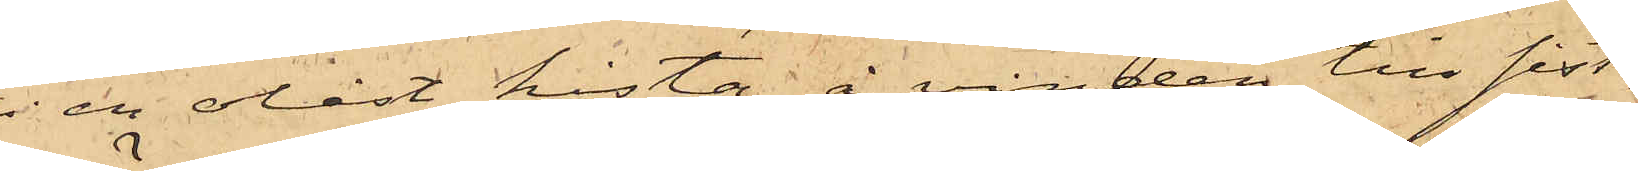i olåst kista å vinden till sist¬
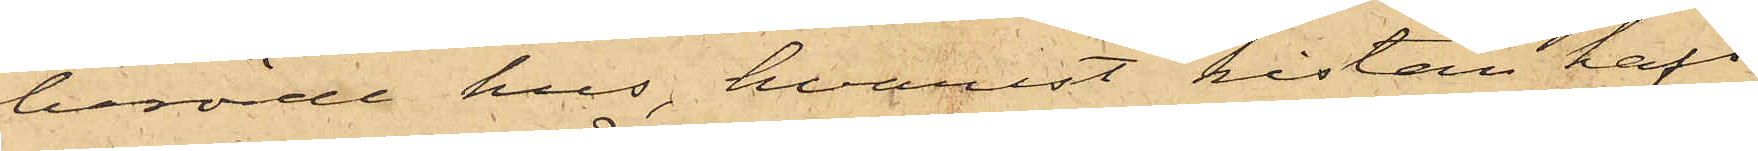berörde hus, hvarest kistan haft
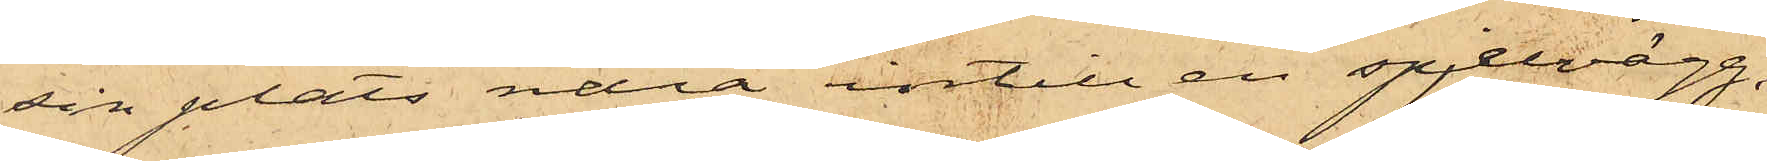sin plats nära intill en spjelvägg,
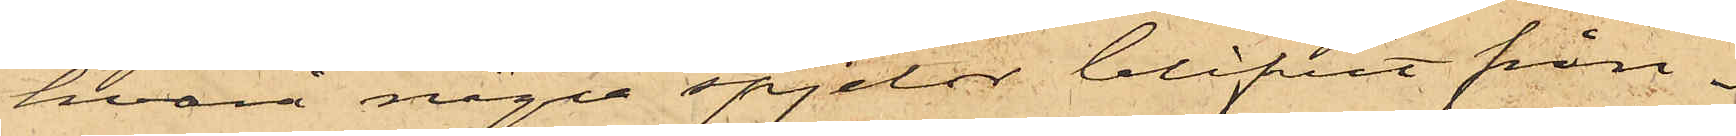hvarå några spjelor blifvit från¬
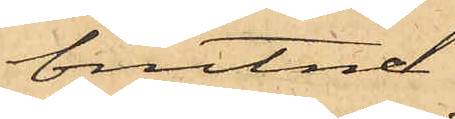brutne.
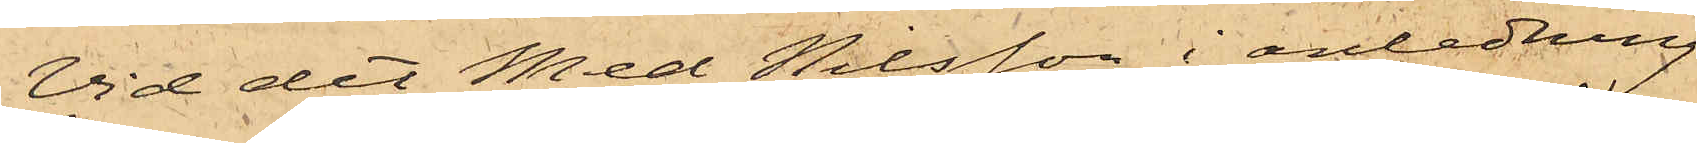Vid det med Nilsson i anledning
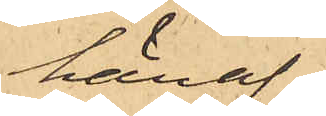häraf
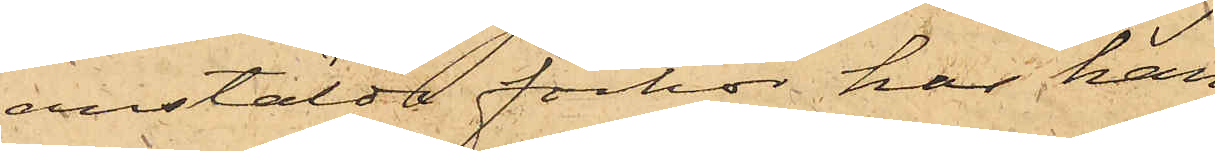anstälde förhör har han
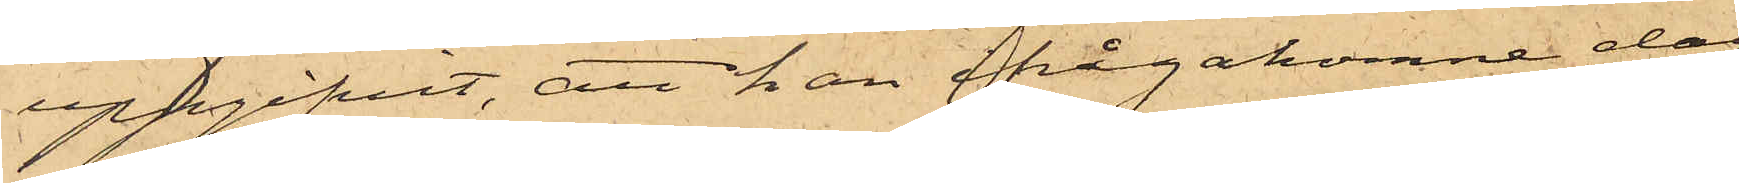uppgifvit, att han ifrågakomne dag
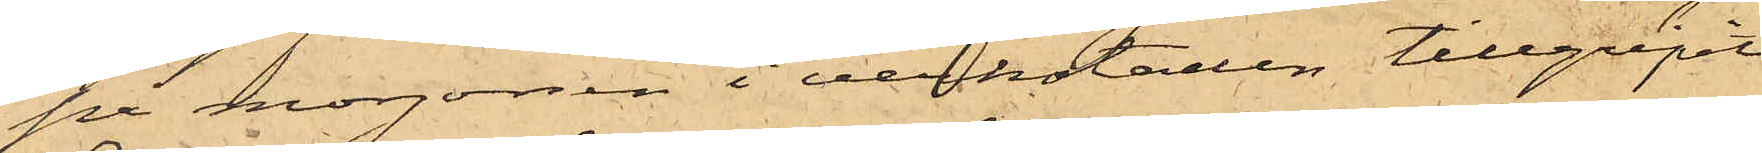på morgonen i verkstaden tillgripit
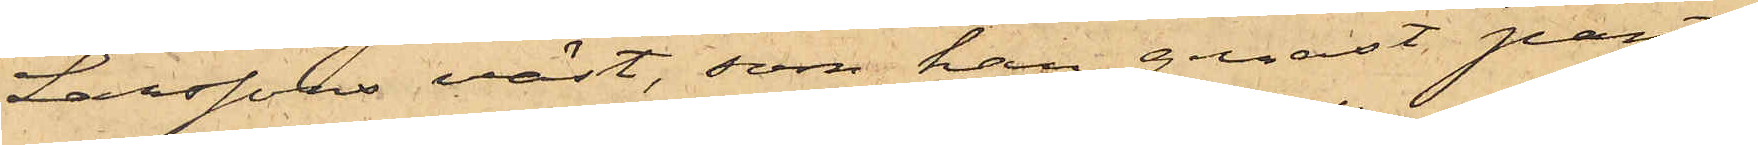Larssons väst, som han genast pant¬
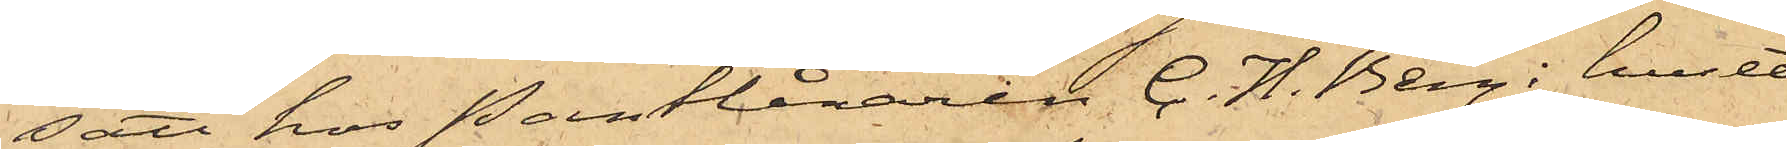satt hos Pantlånaren C. H. Berg i huset
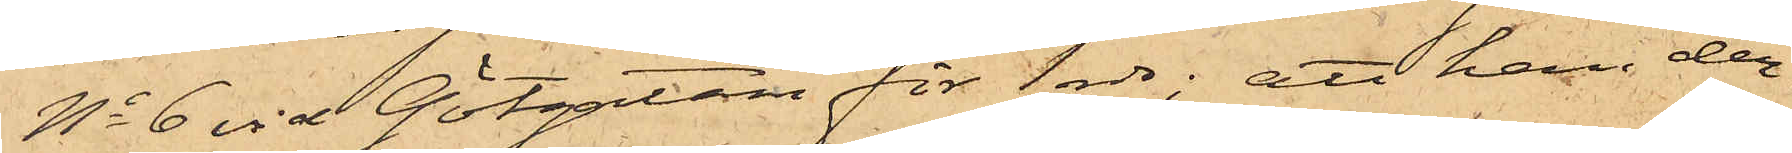No 6 vid Götgatan för 1 rdr; att han der¬
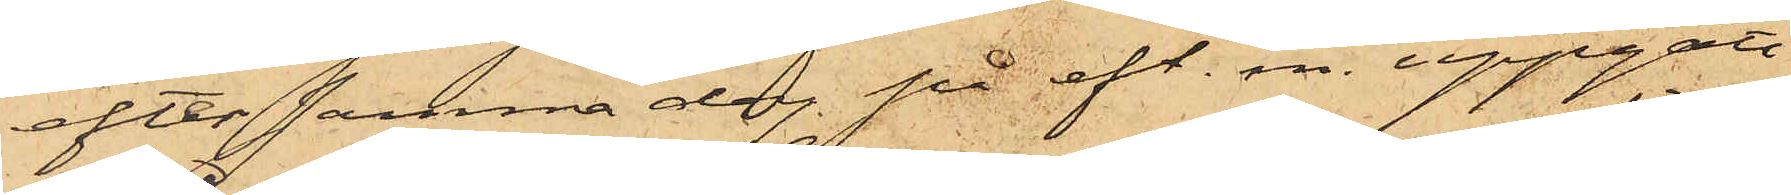efter samma dag på eft. m. uppgått
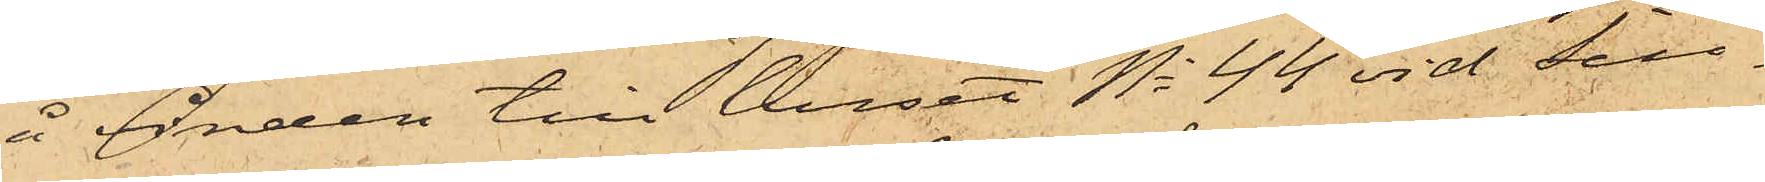å vinden till huset No 44 vid Sill¬
